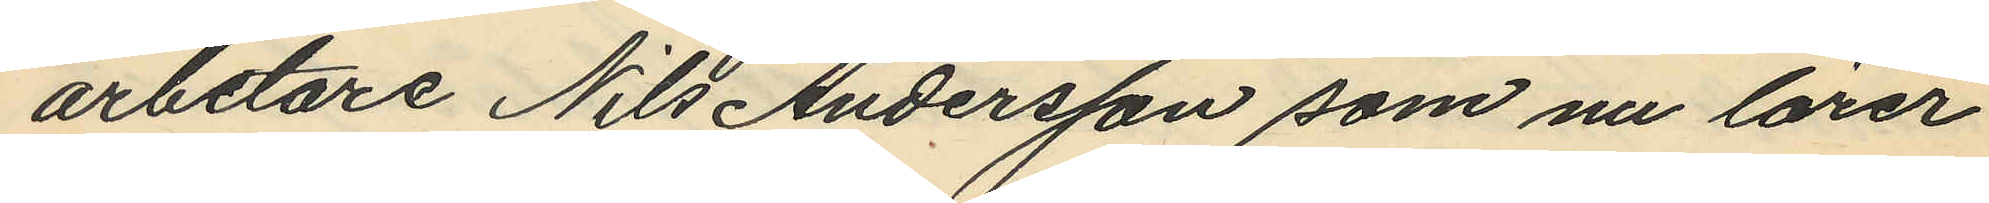arbetare Nils Andersson som nu lärer
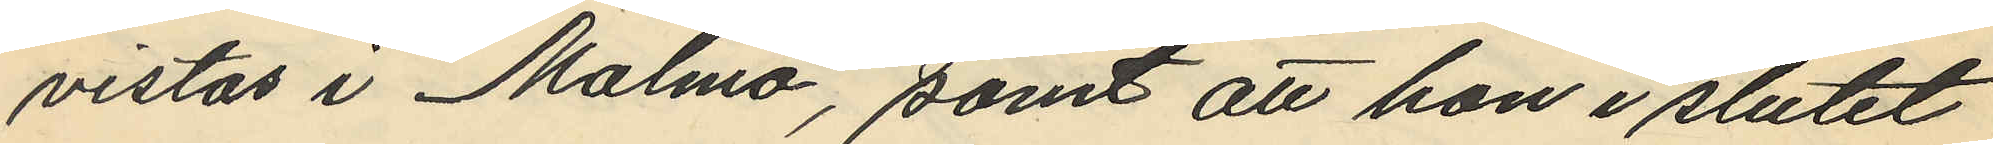vistas i Malmö, samt att hon i slutet
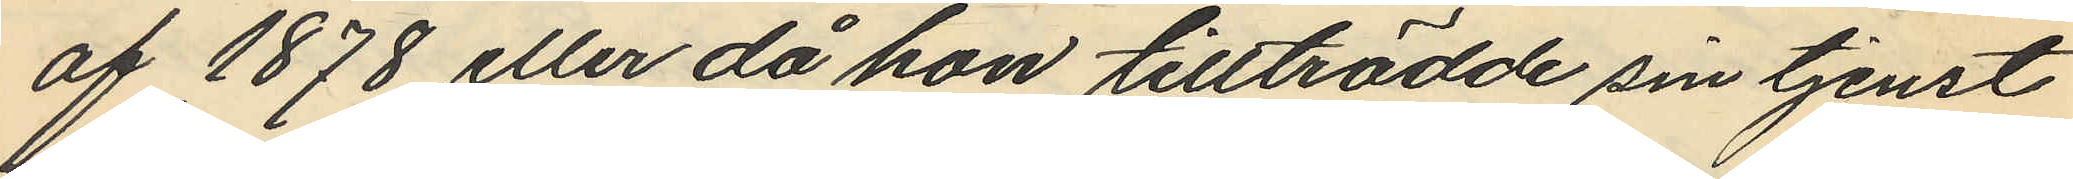af 1878 eller då hon tillträdde sin tjenst
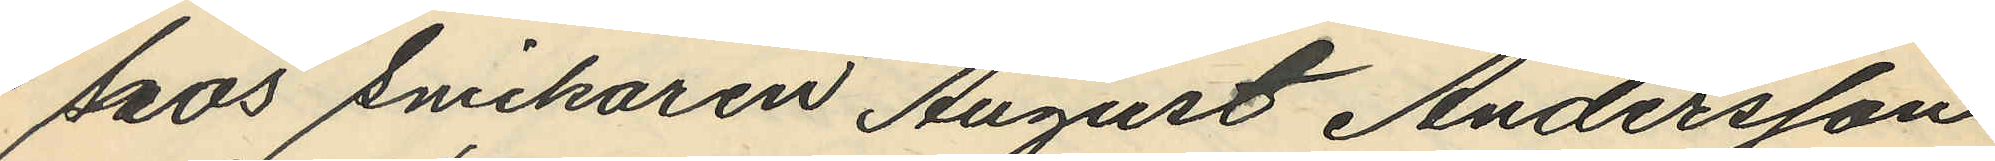hos Snickaren August Andersson
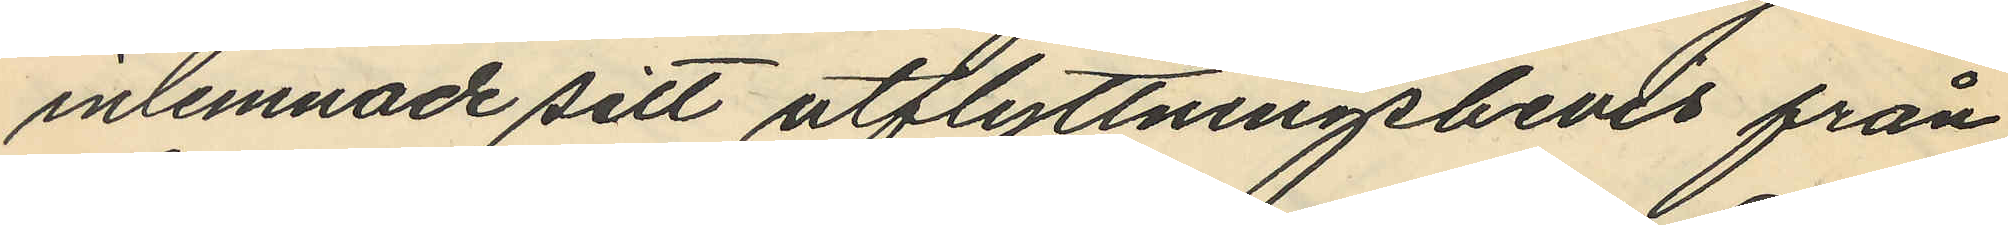inlemnade sitt utflyttningsbevis från
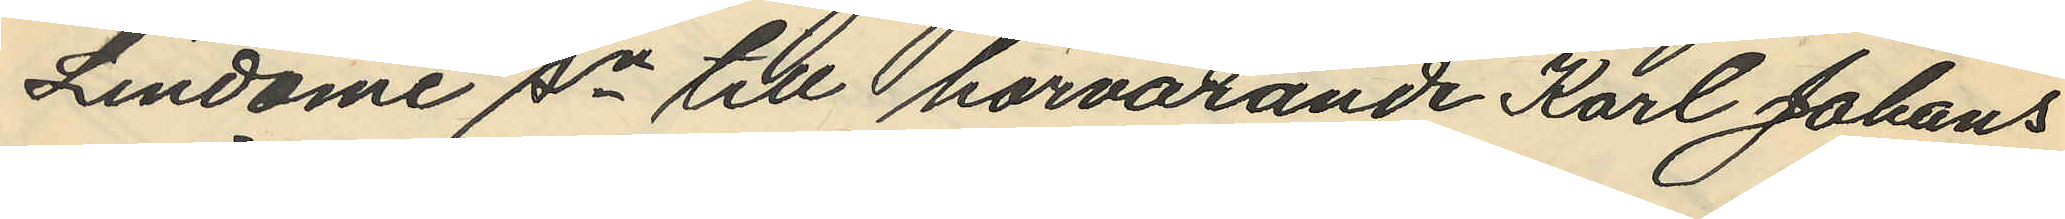Lindome sn till härvarande Karl Johans
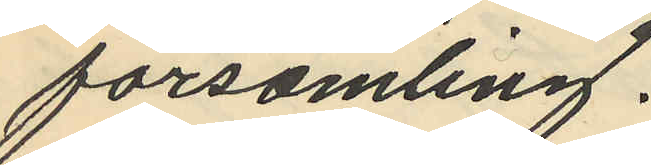församling.
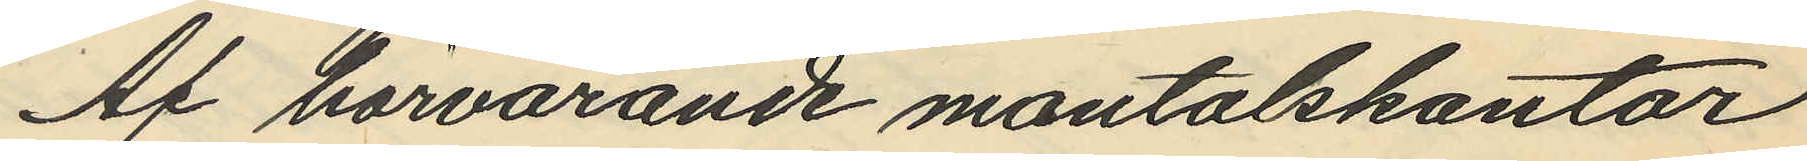Af härvarande mantalskontor
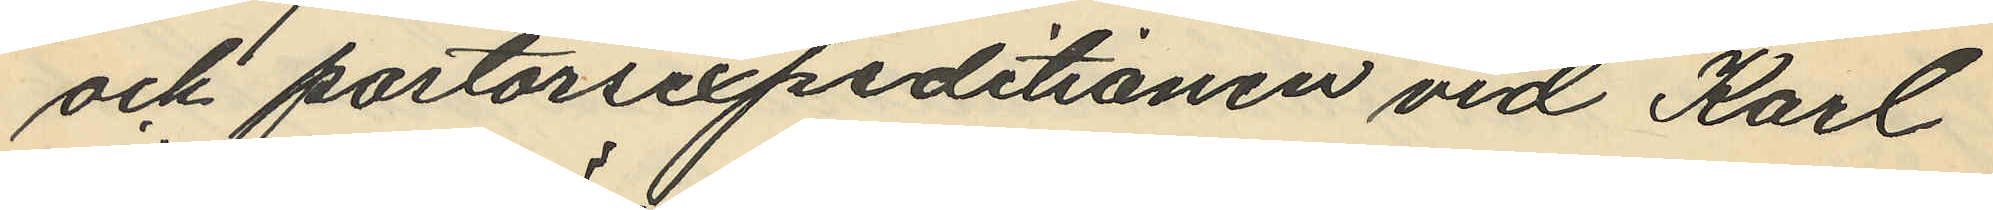och pastorsexpeditionen vid Karl
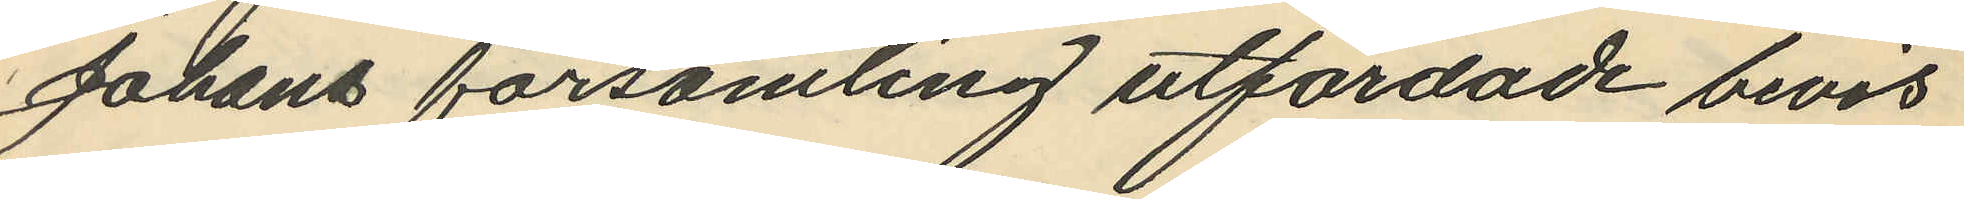Johans församling utfordade bevis
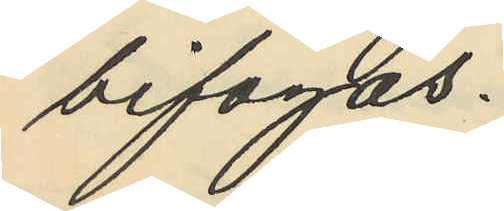bifogas.
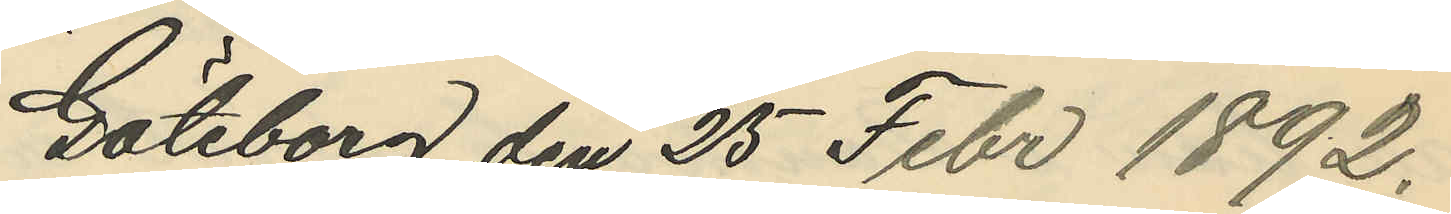Göteborg den 25 Febr 1892.
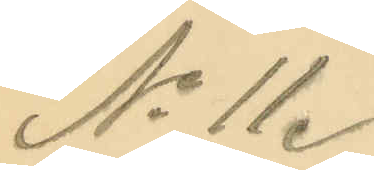No 11.
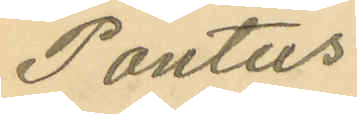Pontus
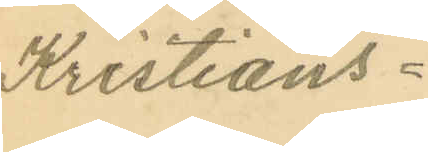Kristians¬
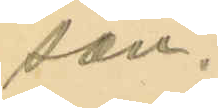son.
